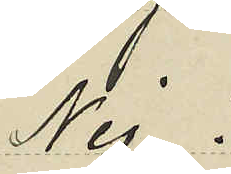Nej
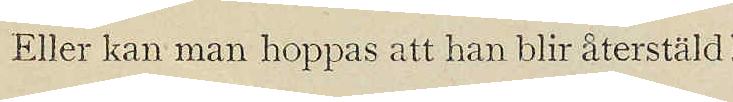Eller kan man hoppas att han blir återställd?
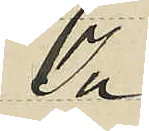Ja
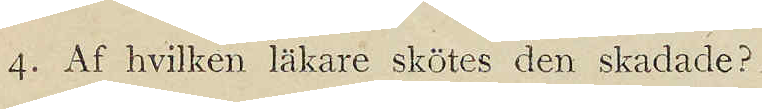4. Af hvilken läkare skötes den skadade?
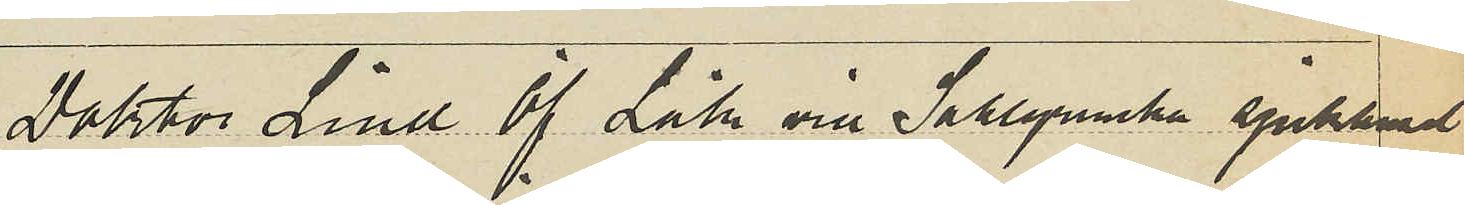Doktor Lind Öf Läk. vid Sahlgrenska sjukhuset
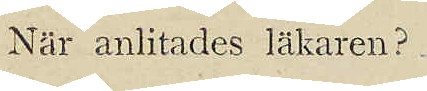När anlitades läkaren?
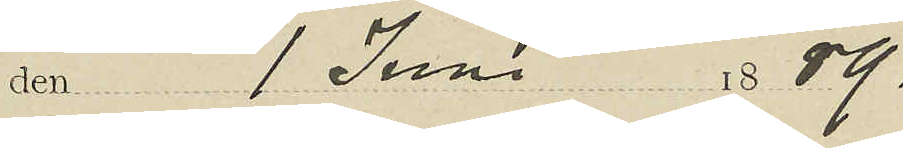den 1 Juni 1889.
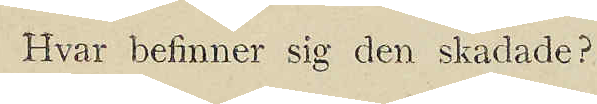Hvar befinner sig den skadade?
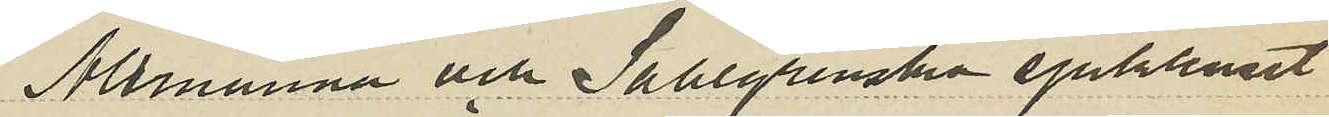Allmänna och Sahlgrenska sjukhuset
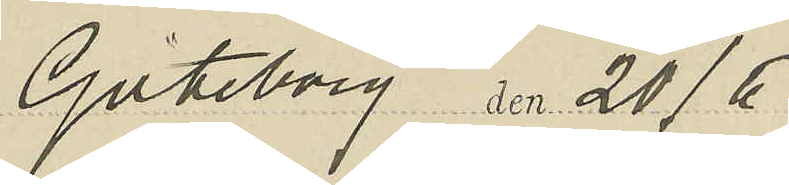Göteborg den 20/6
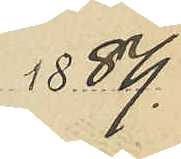1889.
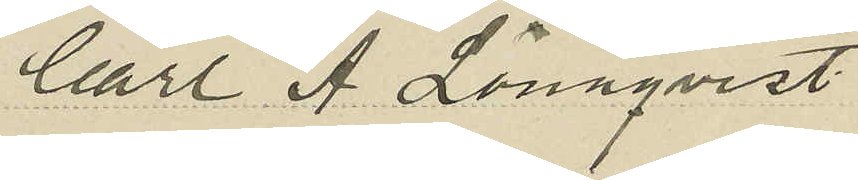Carl A. Lönnqvist
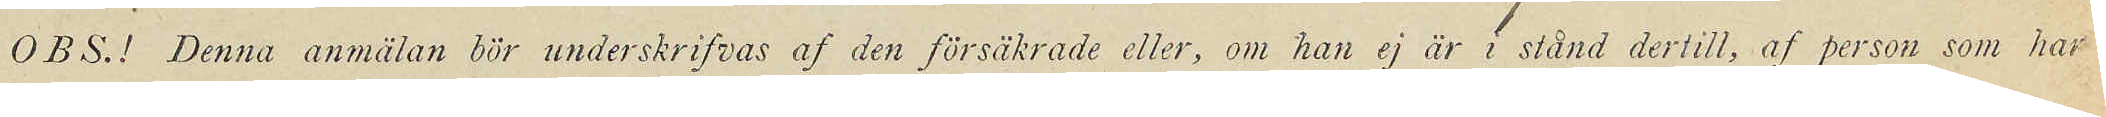O B S !  Denna anmälan bör underskrifvas af den försäkrade eller, om han ej är i stånd dertill, af person som har
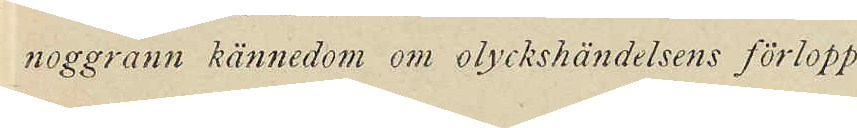noggrann kännedom om olyckshändelsens förlopp.
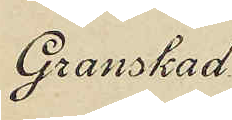Granskad
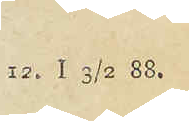12. I 3/2 88.
